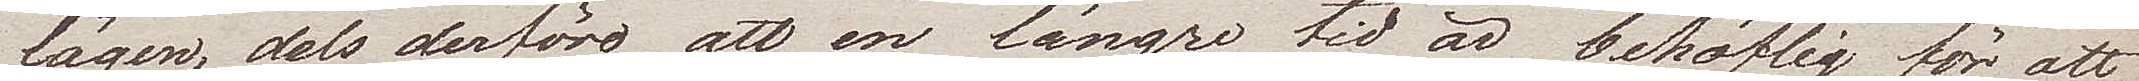lägen dels derföre att en längre tid är behöflig för att
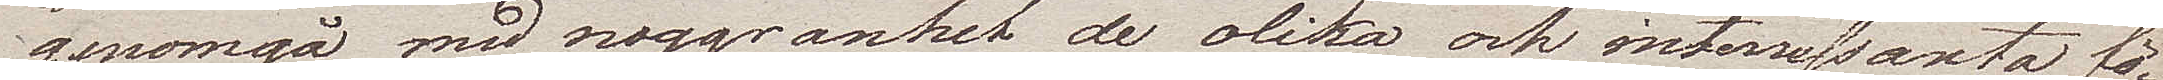genomgå med noggranhet de olika och intressanta fö¬
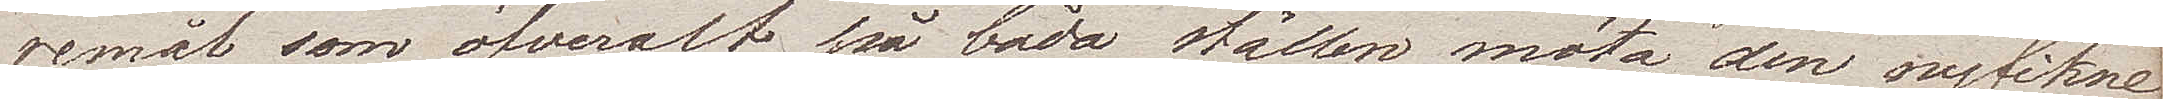remål som öfveralt på båda ställen möta den nyfikne
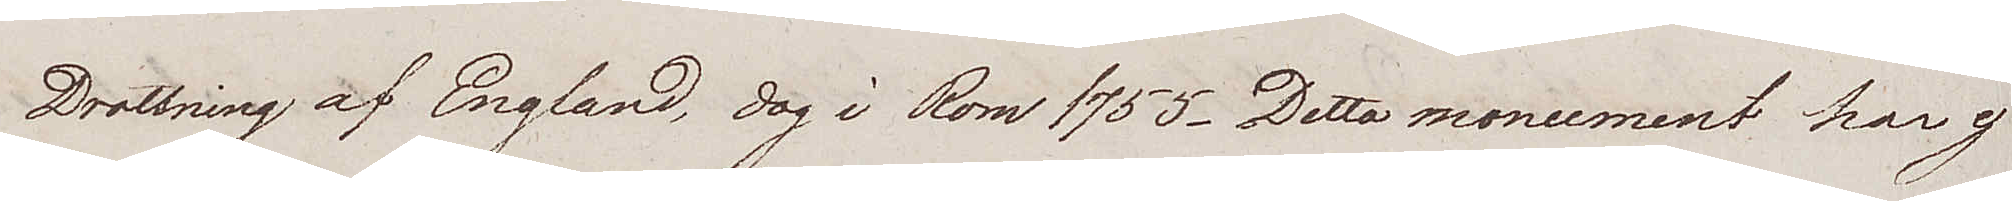Drottning av England, dog i Rom 1755. Detta monument har ej
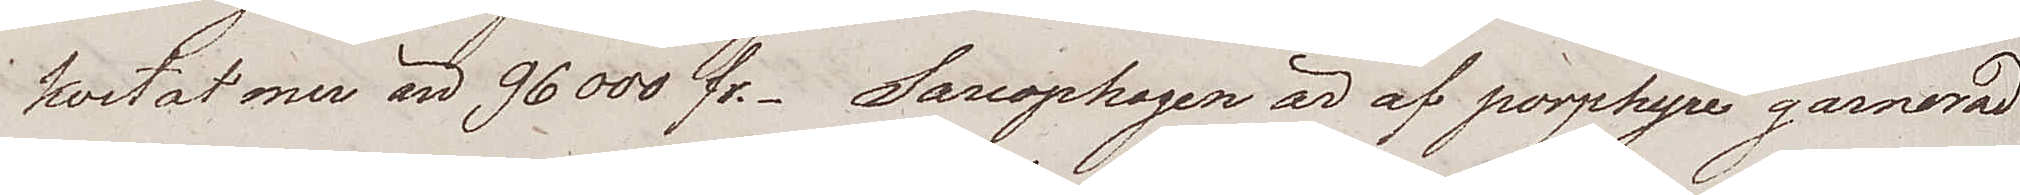kostat mer än 96 000 fr. Sarcophagen är af porphyre garnerad
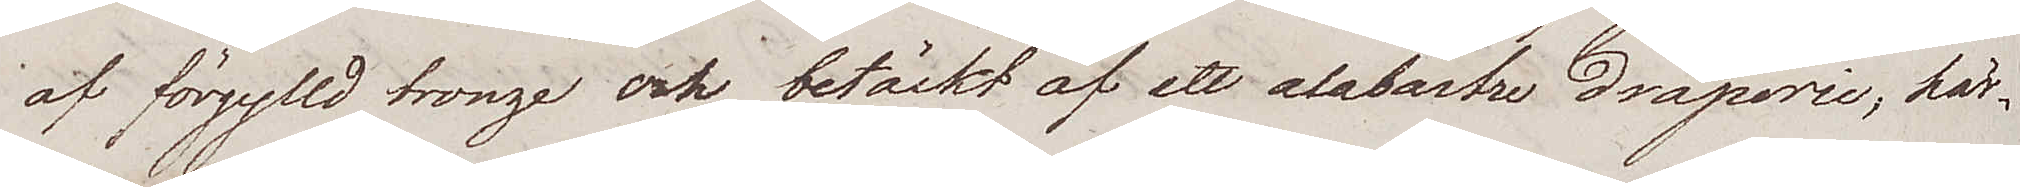af förgylld bronze och betäckt af ett alabastre draperie, här¬
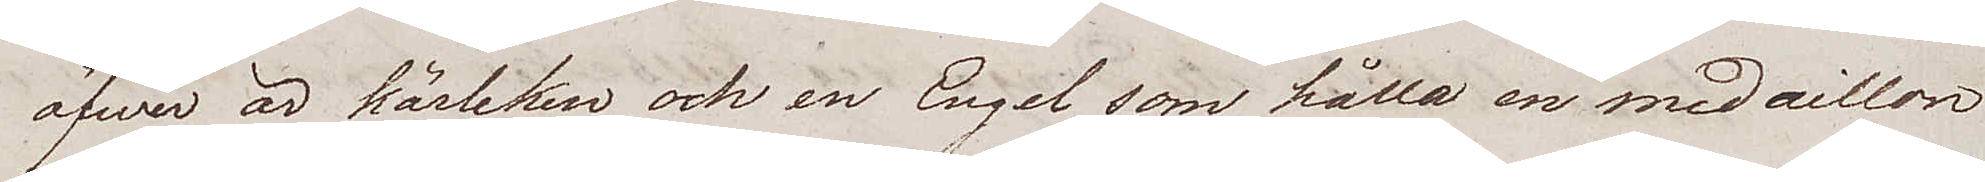öfwer är kärleken och en Engel som hålla en medaillon
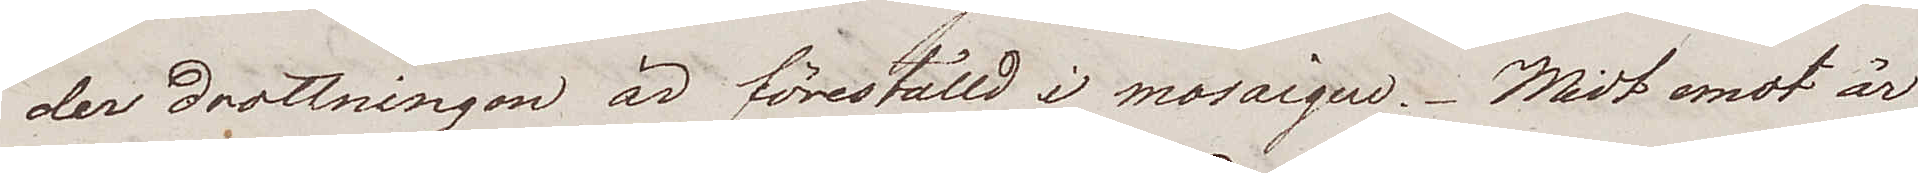der drottningen är föreställd i mosaique. Midt emot är
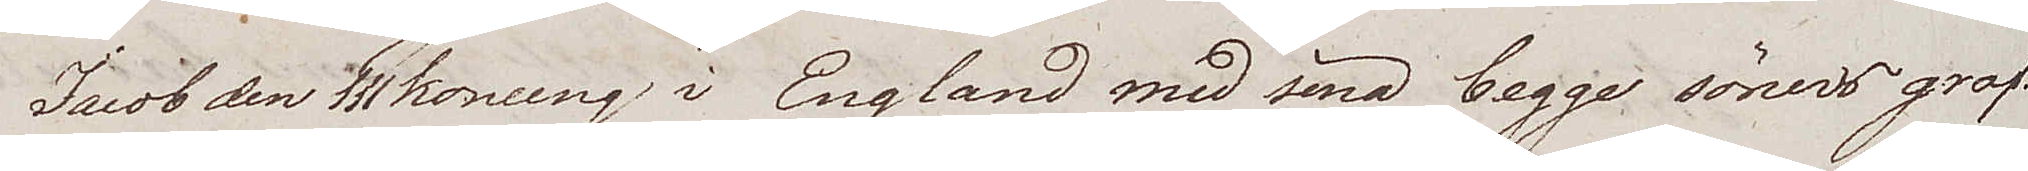Jacob den III konung i England med sina begge söners graf¬
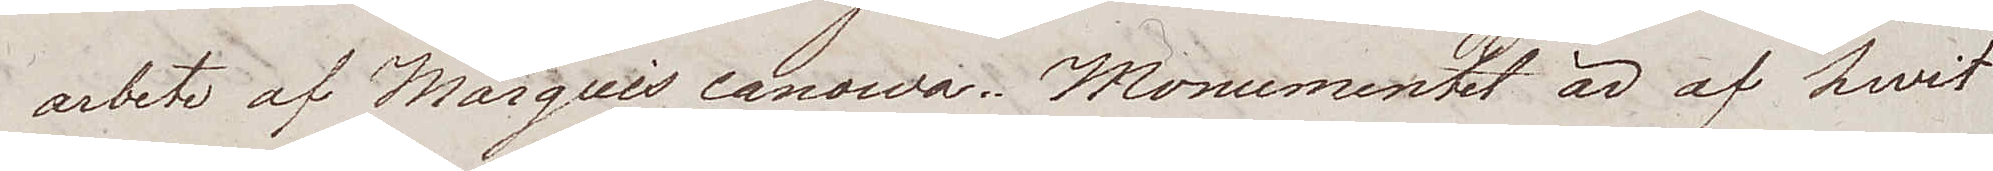arbete af Marquis canowa.. Monumentet är af hwit
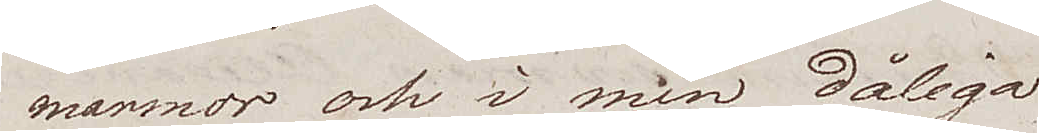marmor och i min dåliga
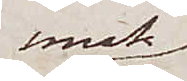smak
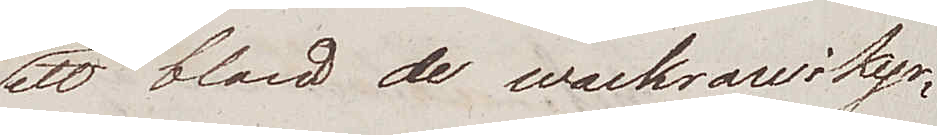ett bland de wackrare i kyr¬
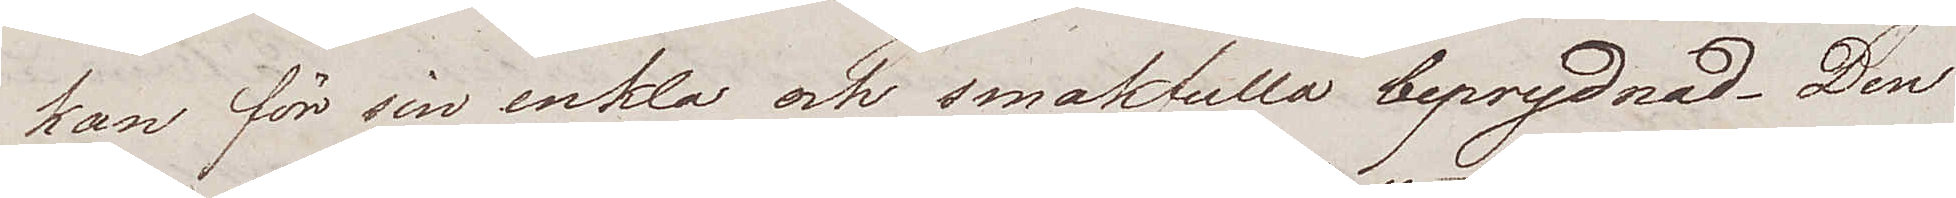kan för sin enkla och smakfulla beprydnad. Den
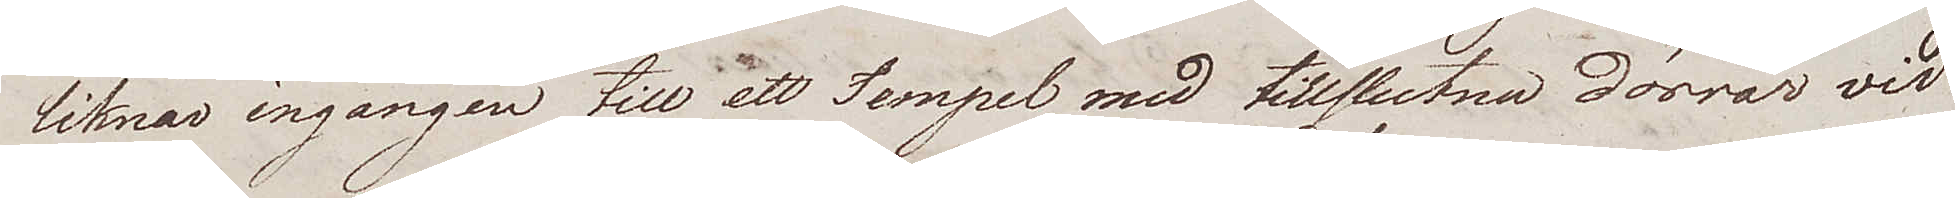liknar ingången till ett Tempel med tillslutna dörrar vid
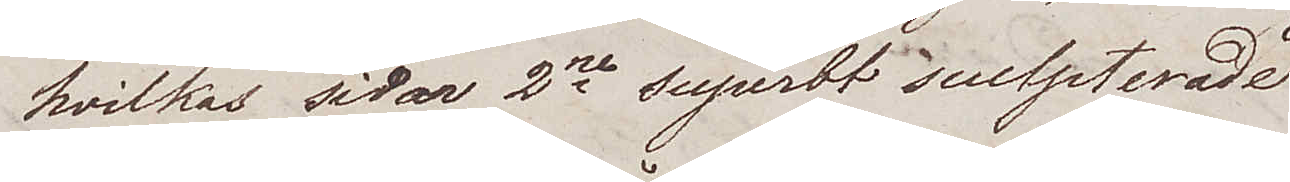hvilkas sidor 2ne superbt sculpterade
